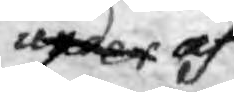under af
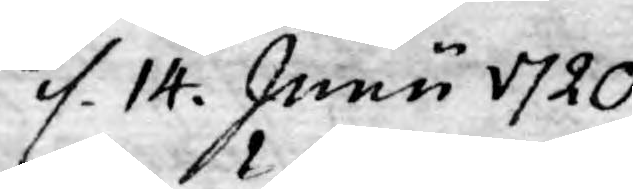d. 14. Junii 1720
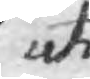uti
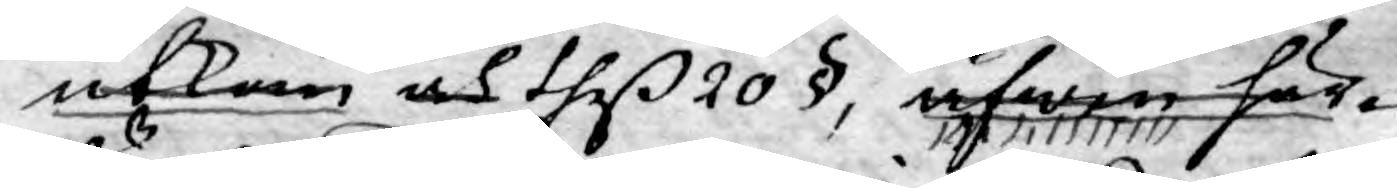utkom och theß 20 §, äfwen här¬
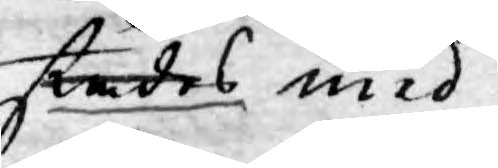städes med
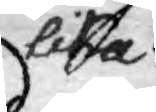lika
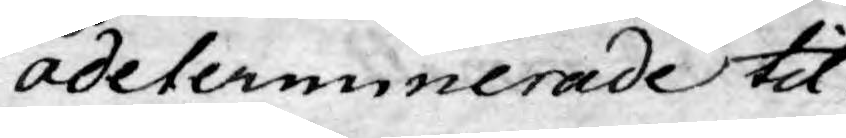odeterminerade tit¬
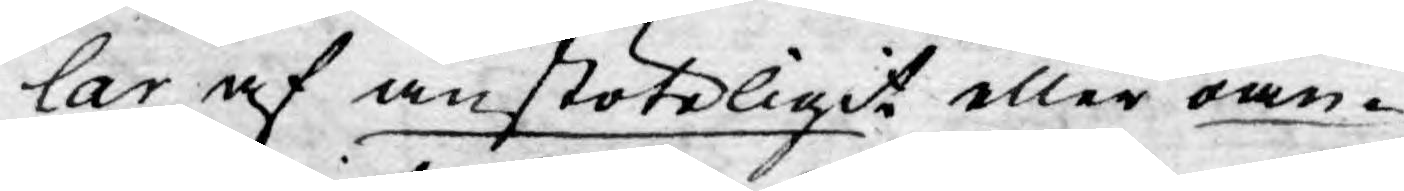lar af anstöteligit eller oan¬
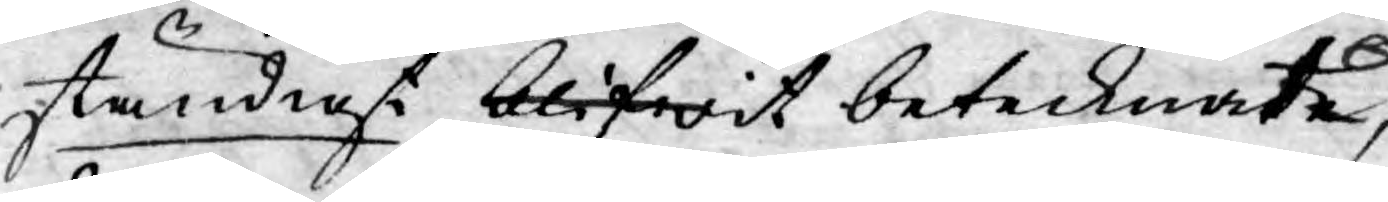ständigt blifwit betecknatde,
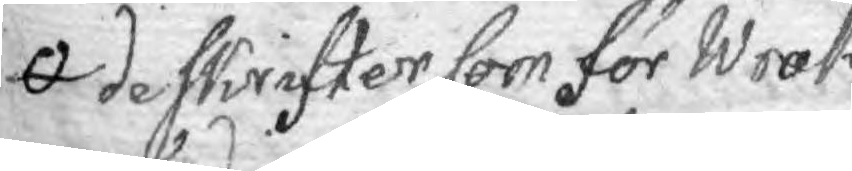de skrifter som för Wrak
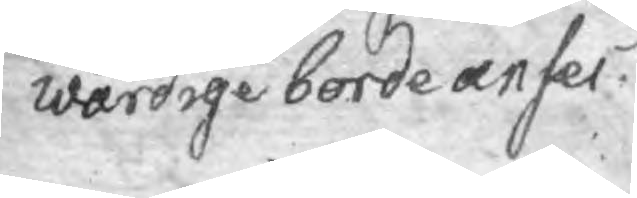wärdige borde anses
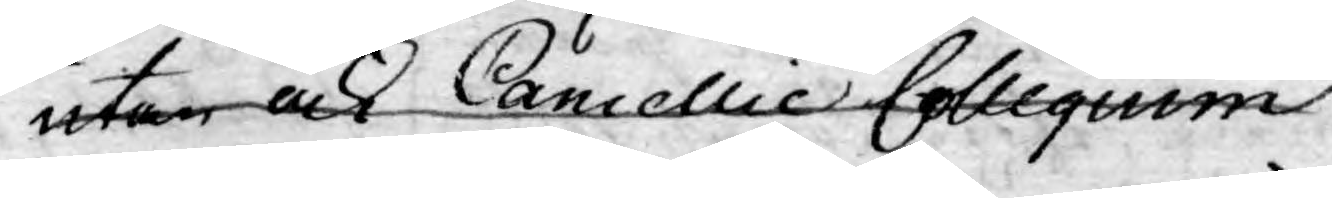utan ock Cancellie Collegium
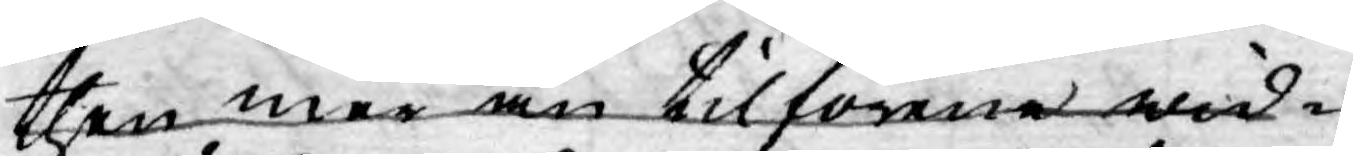then mer än tilförne wid¬
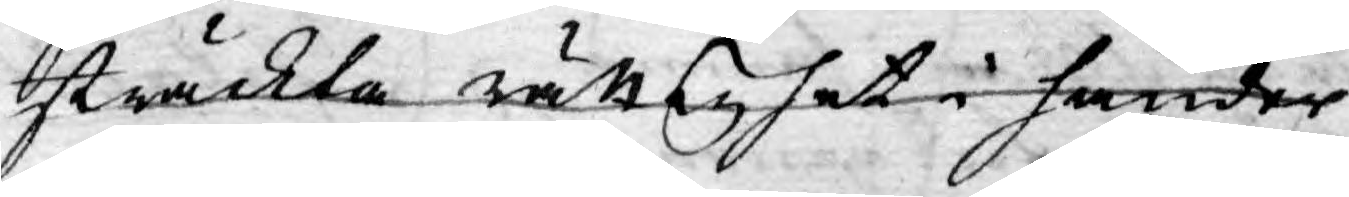sträckta rättighet i händer
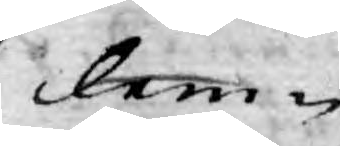lem¬
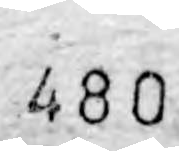480.
